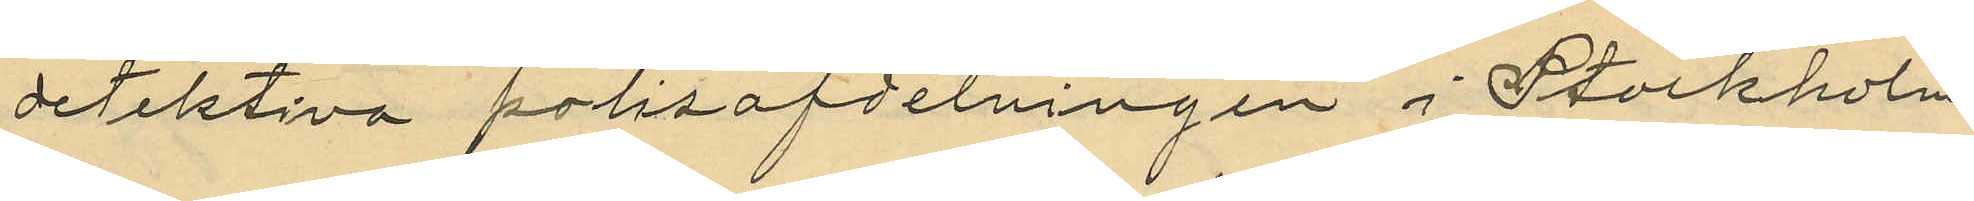detektiva polisafdelningen i Stockholm
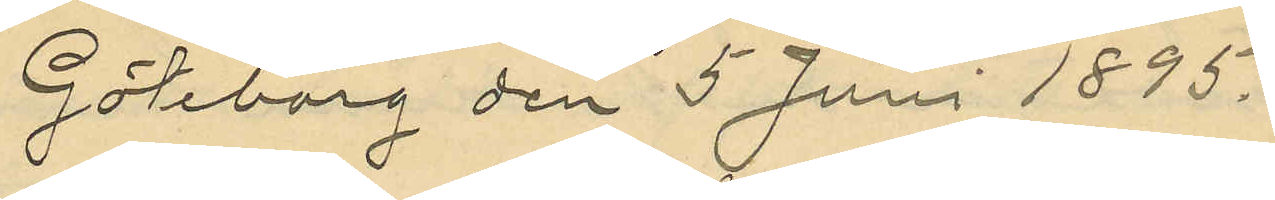Göteborg den 5 Juni 1895.
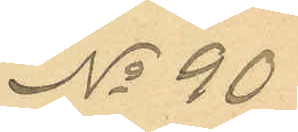No 90
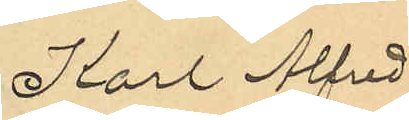Karl Alfred
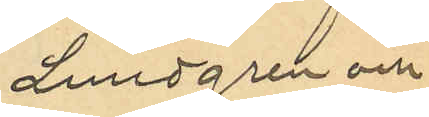Lundgren och
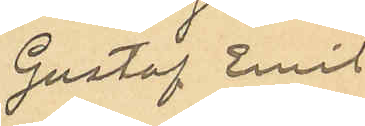Gustaf Emil
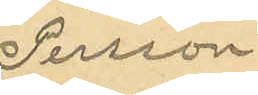Persson
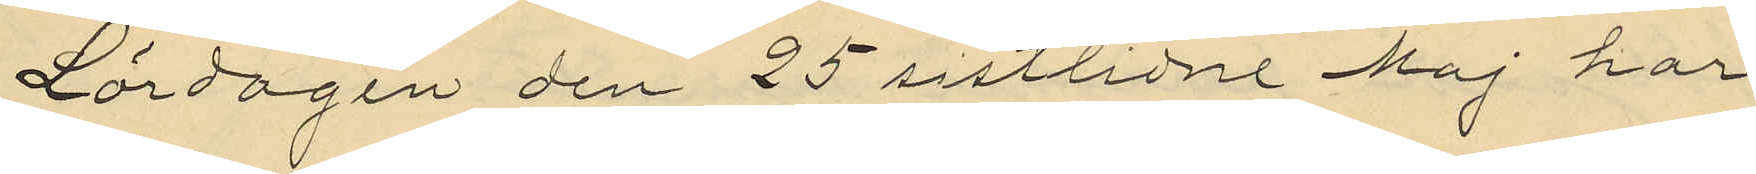Lördagen den 25 sistlidne Maj har
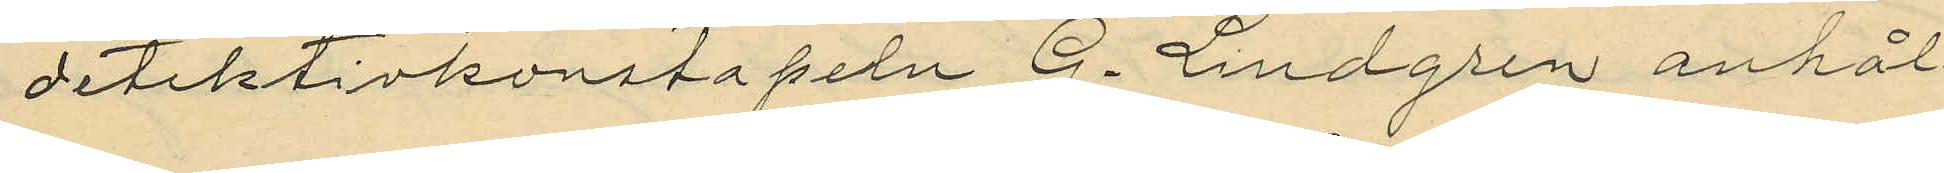detektivkonstapeln G. Lindgren anhål¬
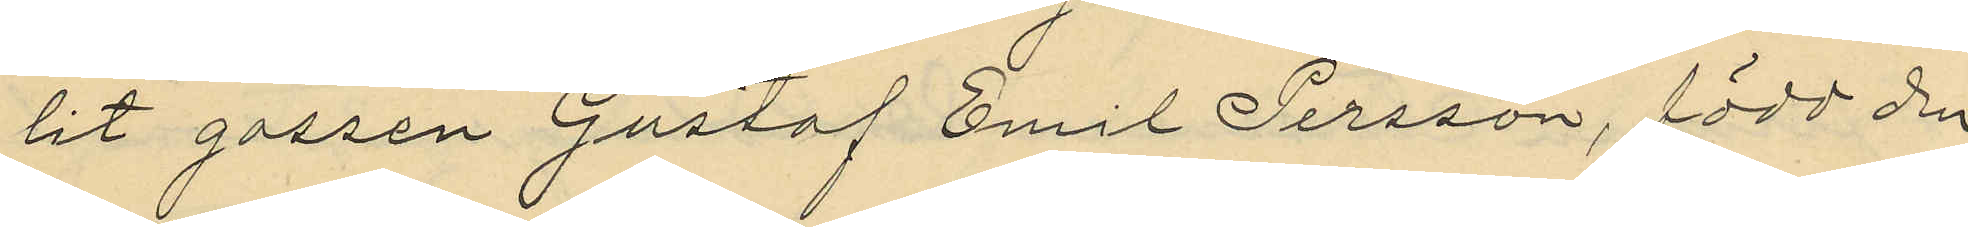lit gossen Gustaf Emil Persson, född den
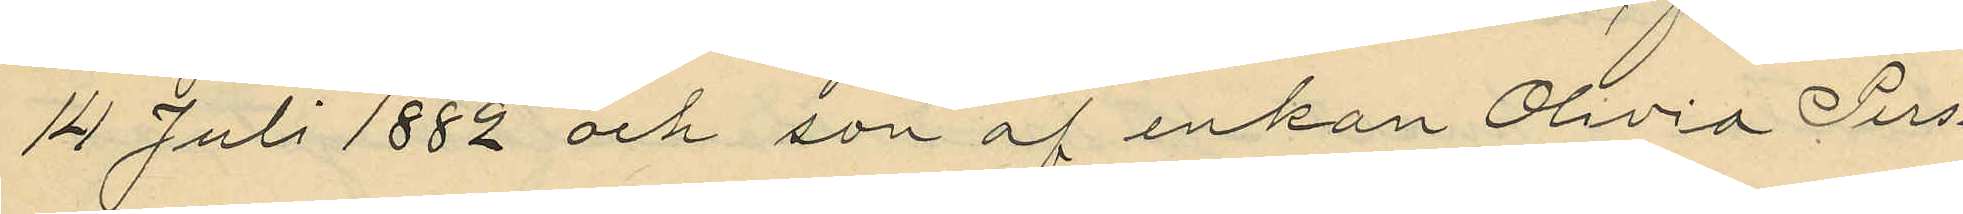14 Juli 1882 och son af enkan Olivia Pers¬
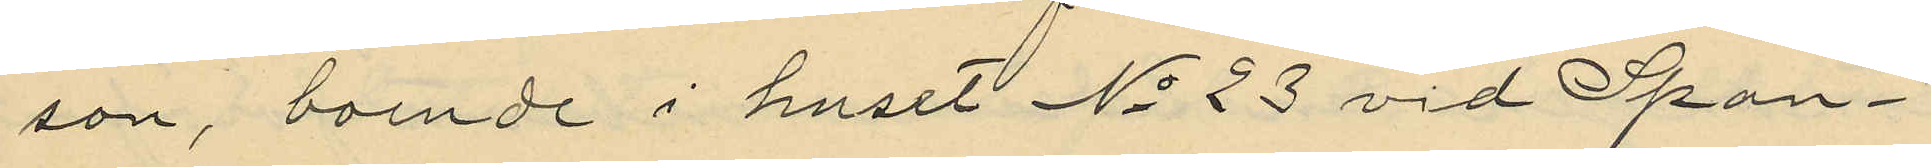son, boende i huset No 23 vid Span¬
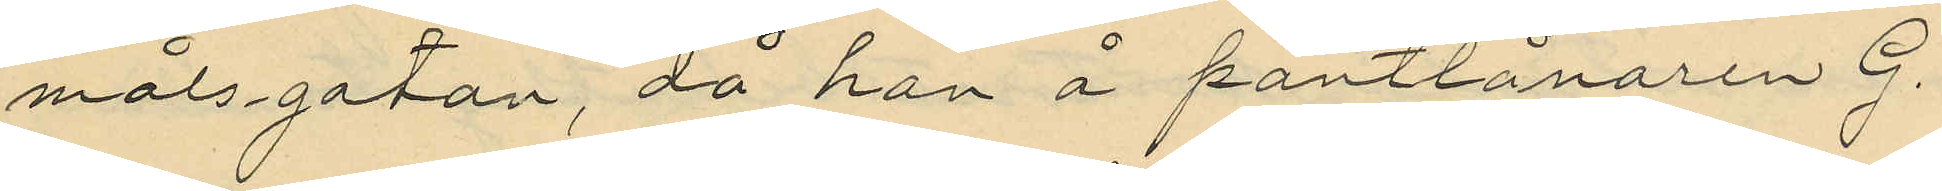målsgatan, då han å pantlånaren G.
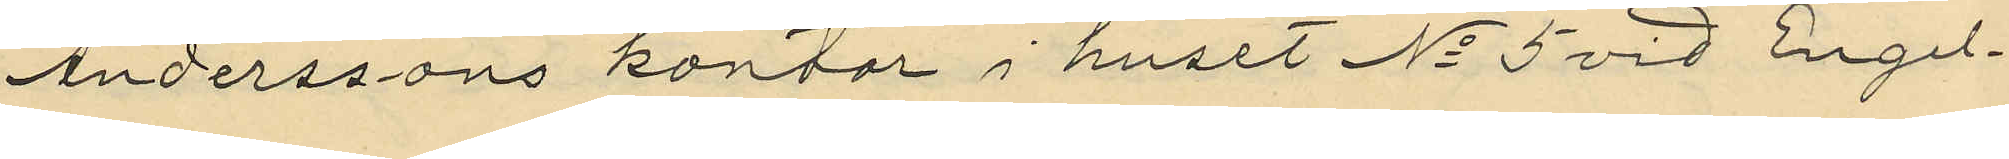Anderssons kontor i huset No 5 vid Engel¬
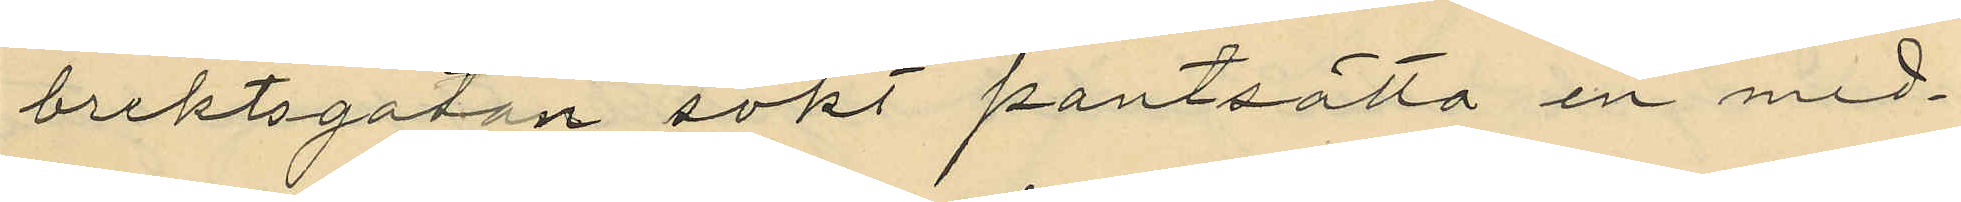brektsgatan sökt pantsätta en med¬
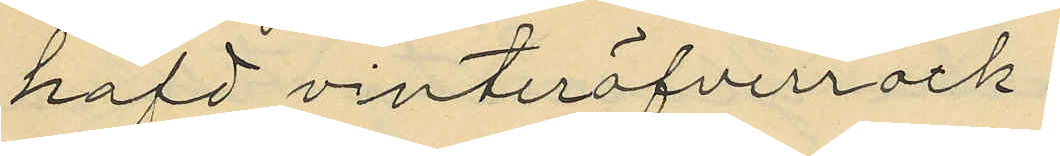hafd vinteröfverrock.
